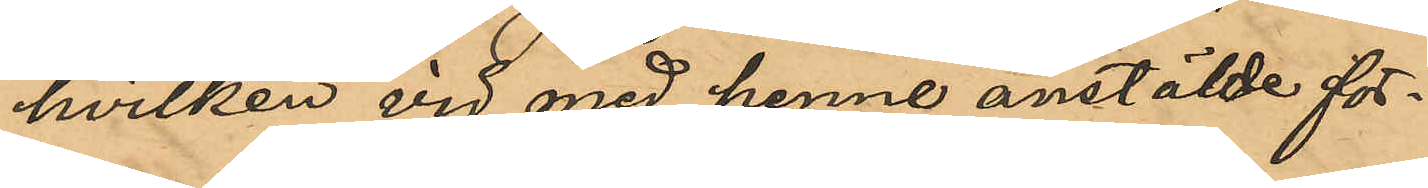hvilken vid med henne anstälde för¬
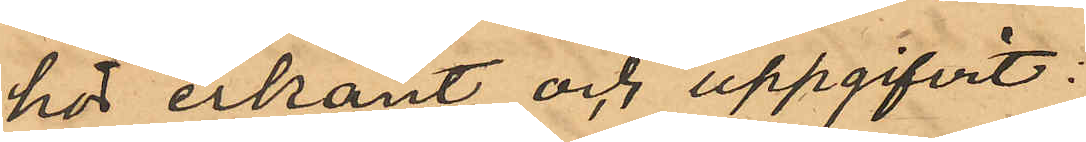hor erkänt och uppgifvit:
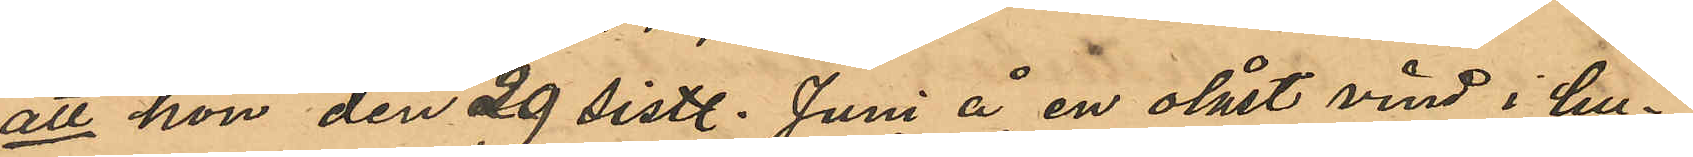att hon den 29 sistl. Juni å en olåst vind i hu¬
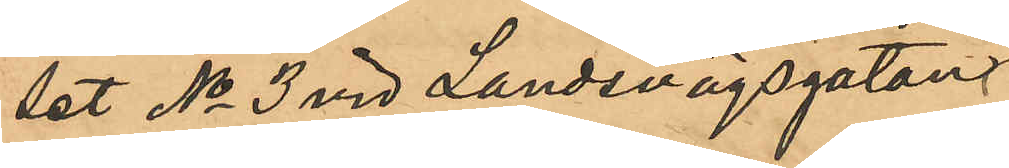set No 3 vid Landsvägsgatan
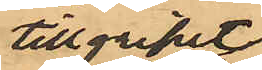tillgripit
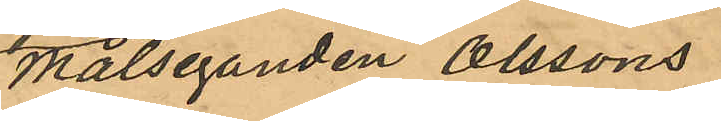målseganden Olssons
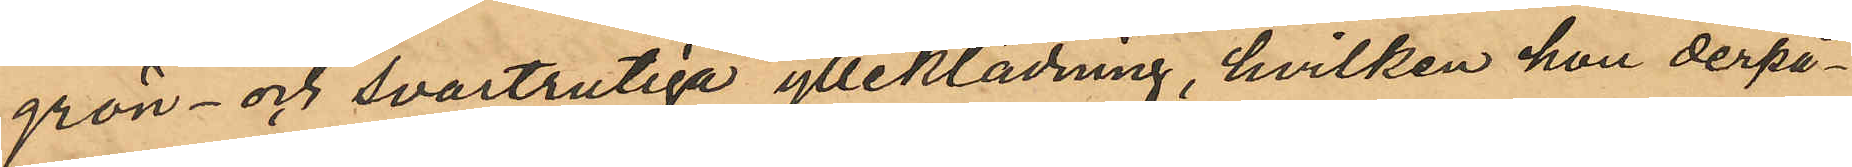grön- och svartrutiga ylleklädning, hvilken hon derpå¬
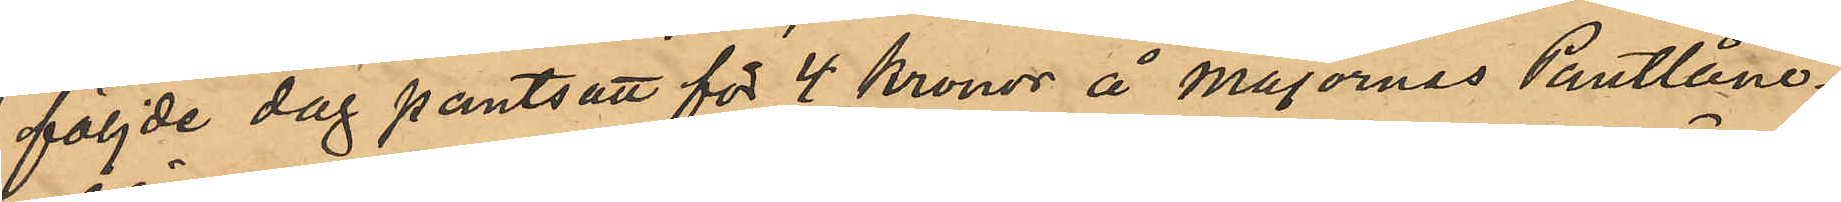följde dag pantsatt för 4 kronor å Majornas Pantlåne¬
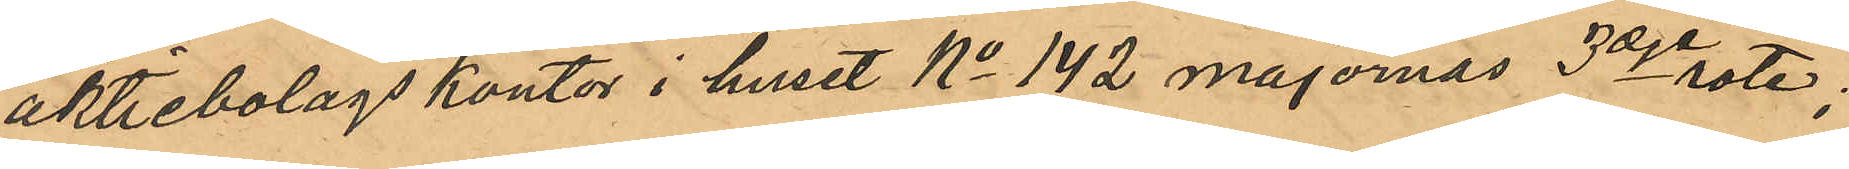aktiebolags kontor i huset No 142 majornas 3dje rote;
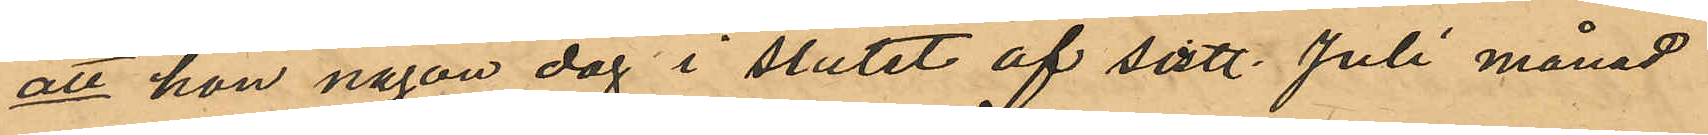att hon någon dag i slutet af sist. Juli månad
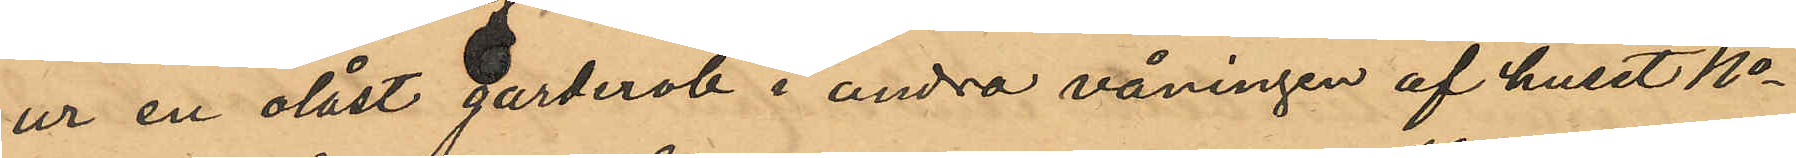ur en olåst garderob i andra våningen af huset No
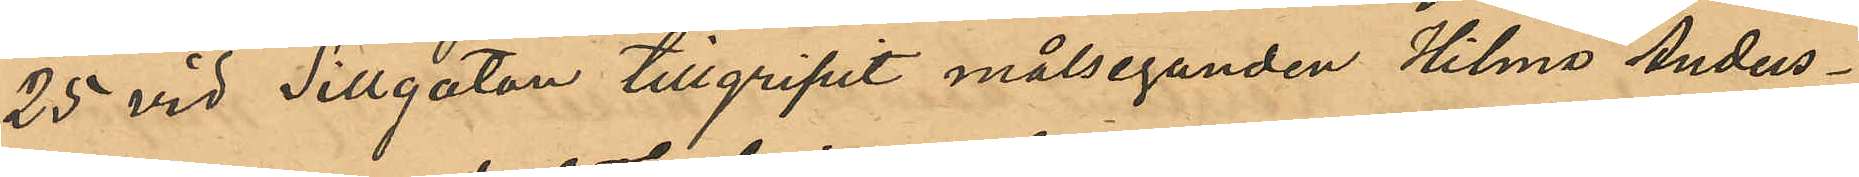25 vid Sillgatan tillgripit målseganden Hilma Anders¬
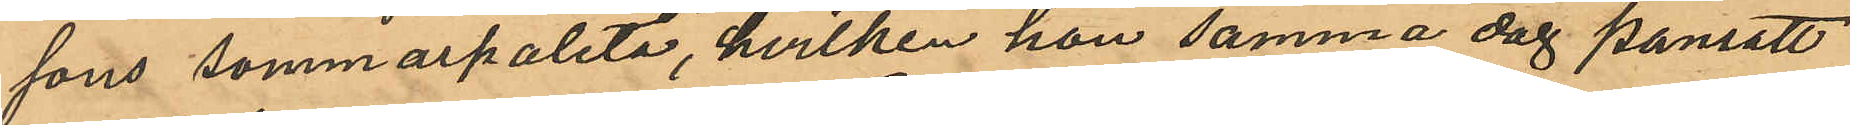sons sommarpaletå, hvilken hon samma dag pansatt
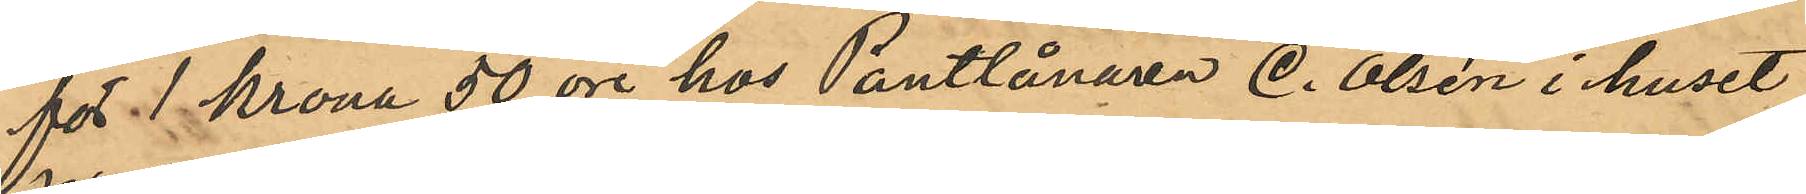för 1 Krona 50 öre hos Pantlånaren C. Olsén i huset
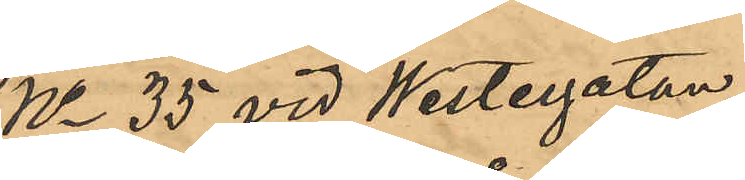No 35 vid Westergatan;
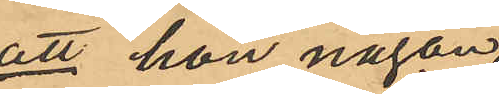att hon någon
